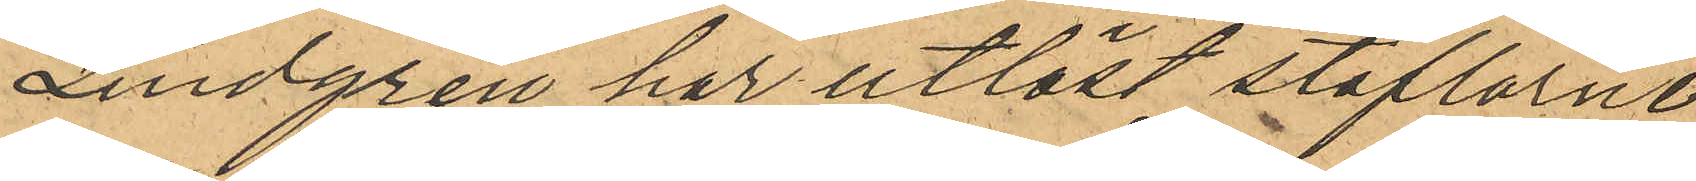Lindgren har utlöst stöflarne
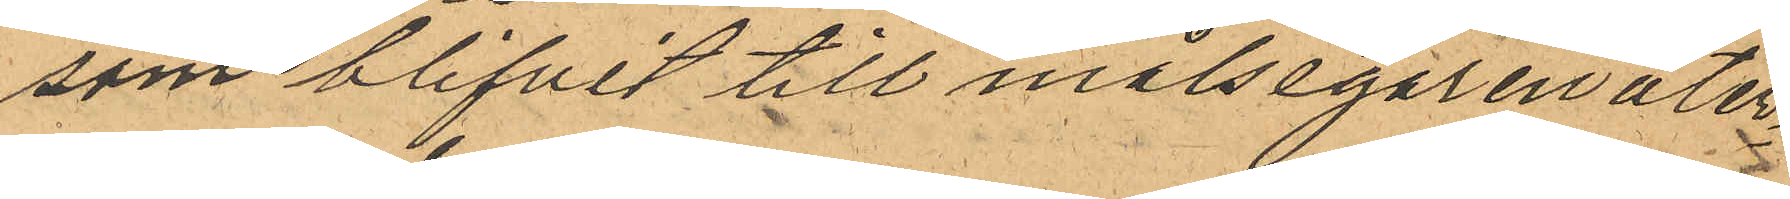som blifvit till målsegaren åter¬
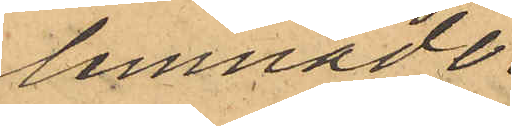lemnade.
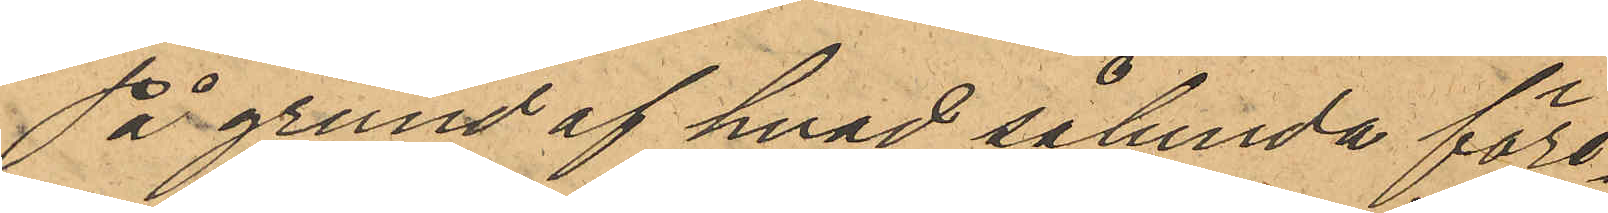På grund af hvad sålunda före¬
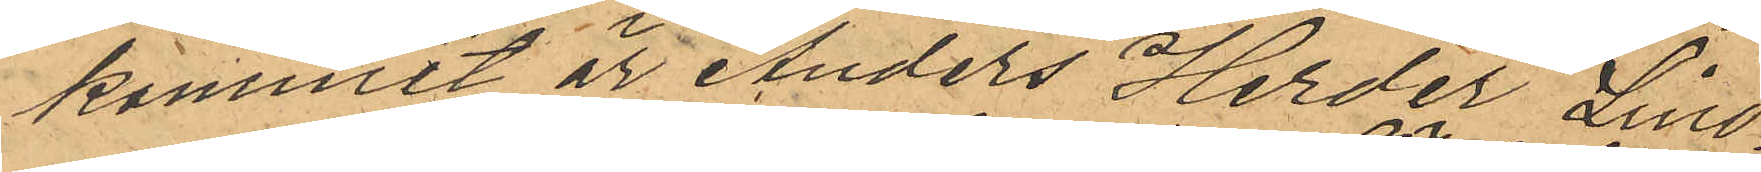kommit är Anders Herder Lind¬
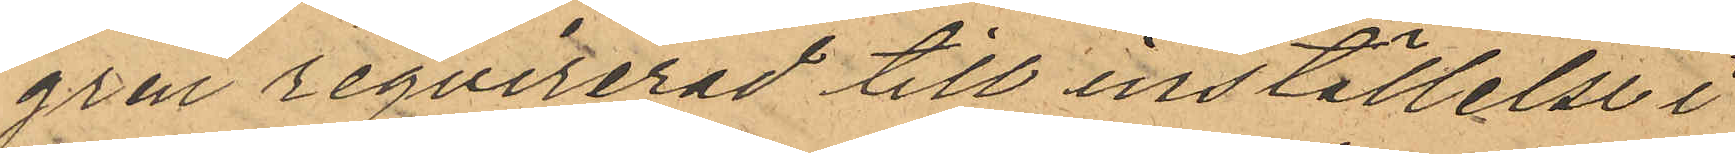gren reqvirerad till inställelse i
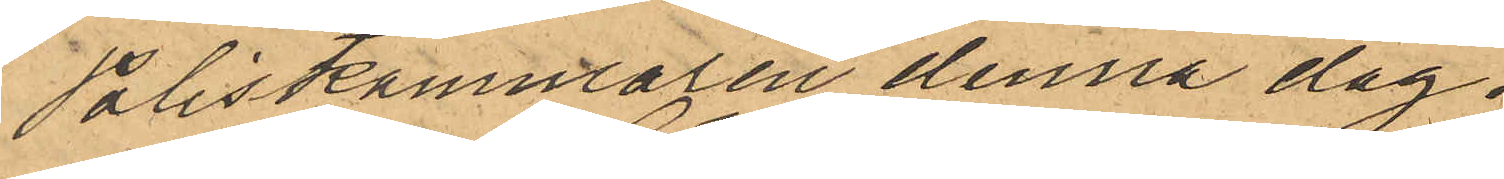Poliskammaren denna dag.
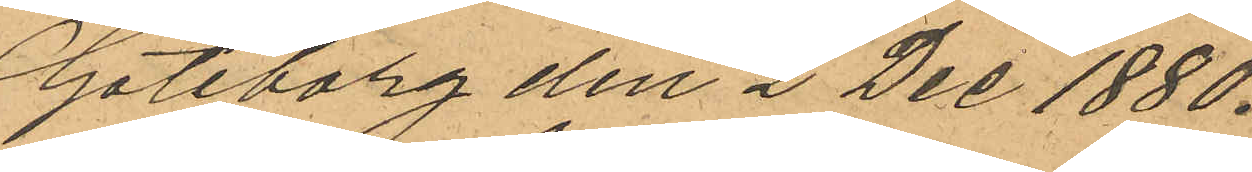Göteborg den 2 Dec 1880.
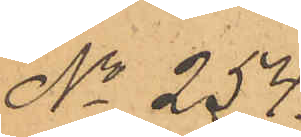No 254.
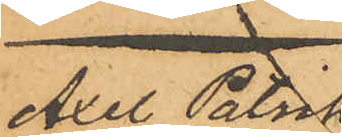Axel Patrik
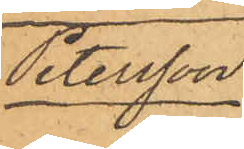Petersson.
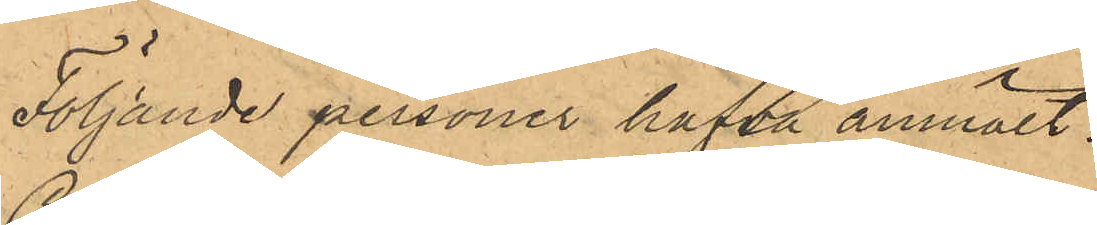Följande personer hafva anmält:
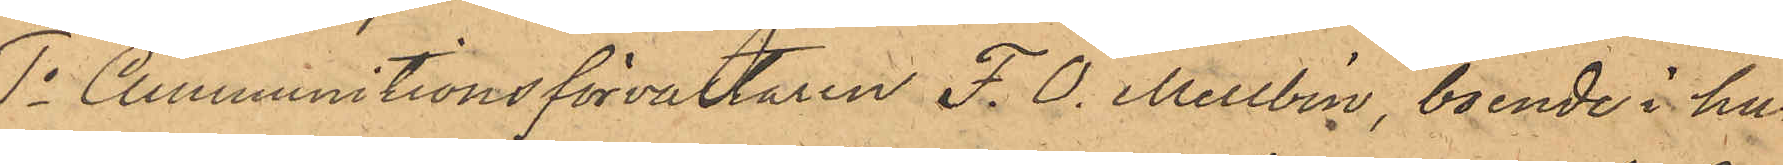1o Ammunitionsförvaltaren F. O. Mellbin, boende i hu¬
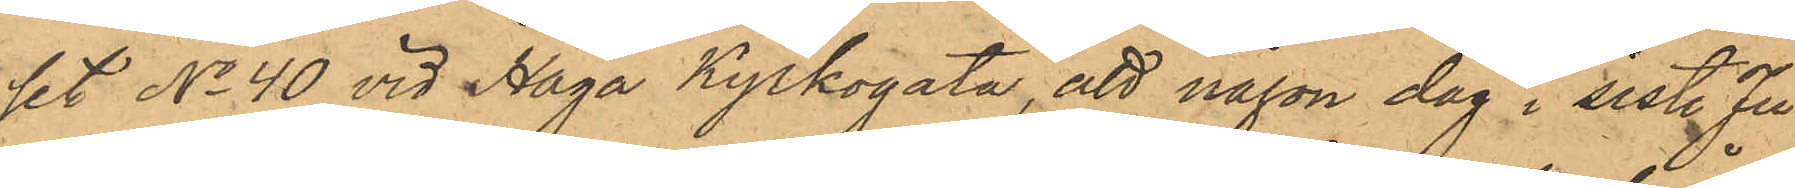set No 40 vid Haga Kyrkogata, att någon dag i sist. Ju¬
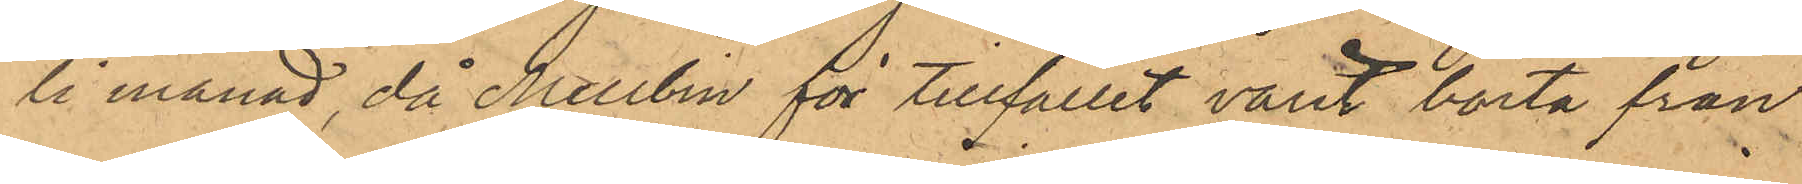li månad då Mellbin för tillfället varit borta från
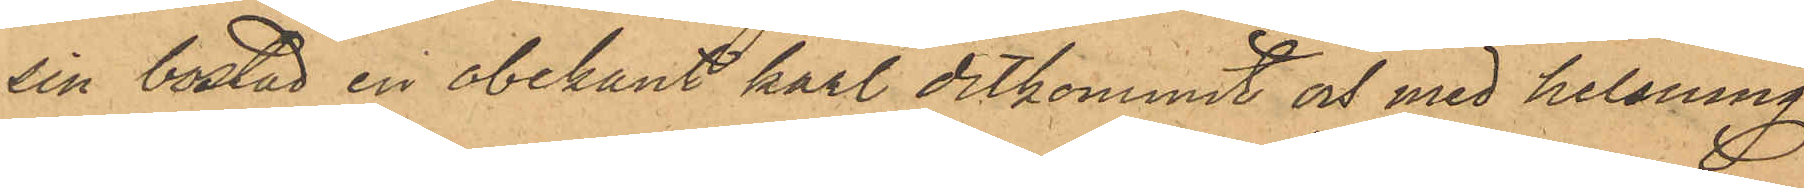sin bostad en obekant karl ditkommit och med helsning
